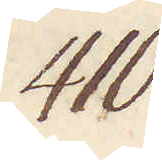410.
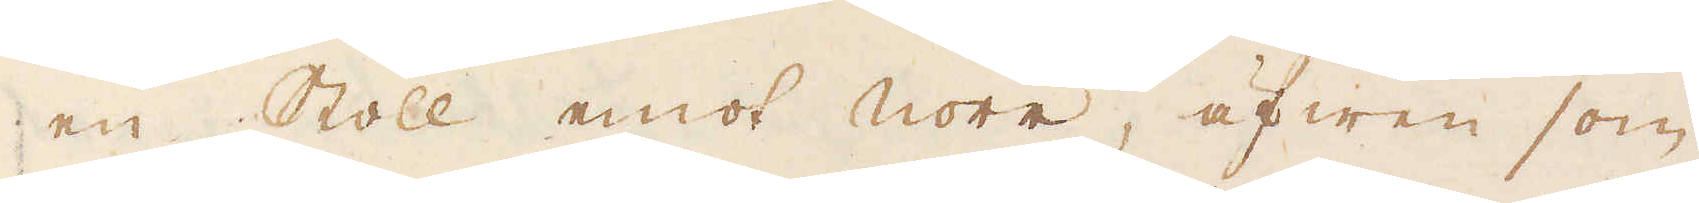en Stoll emot norr, äfwen som
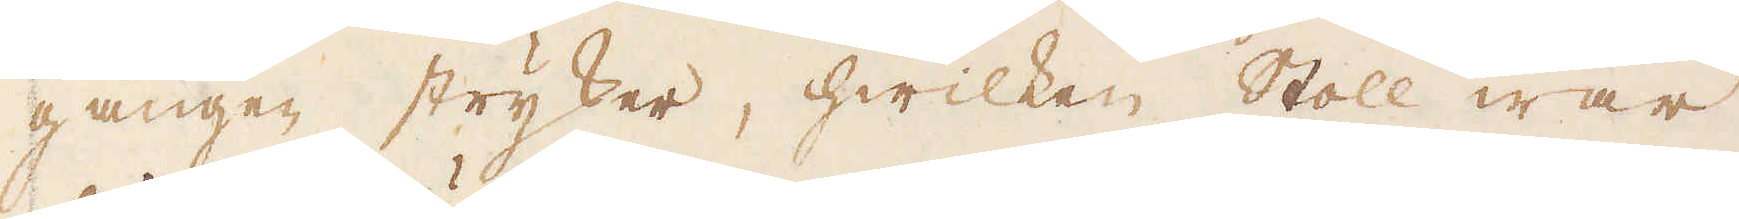gången stryker, hwilken Stoll war
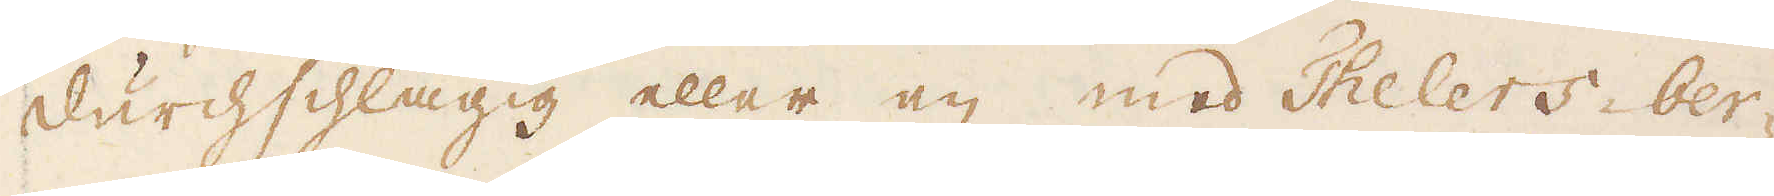durchschlägig eller en med Thelers-ber-
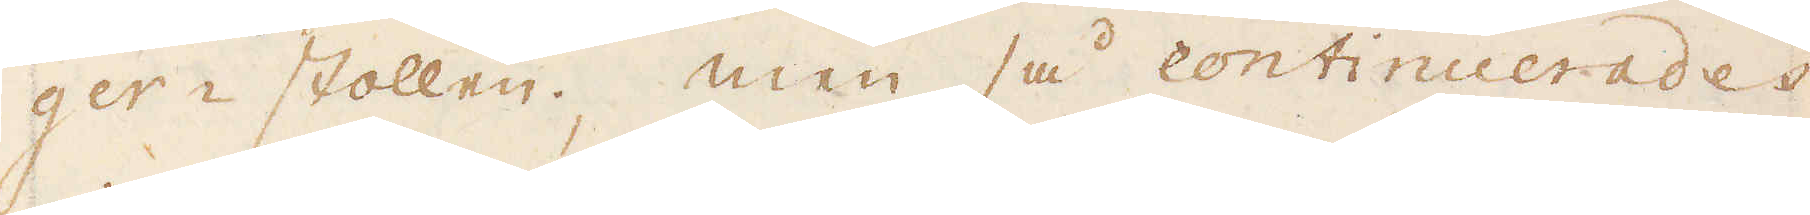ger-stollen. Men så continuerades
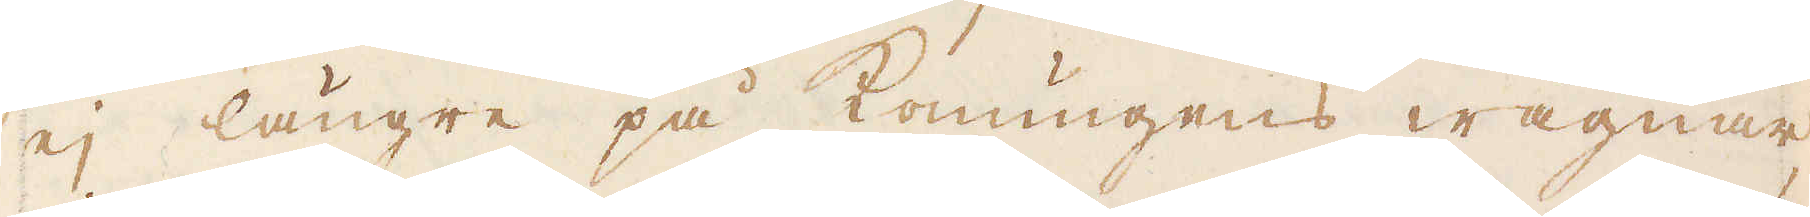ej längre på konungens wägnar,
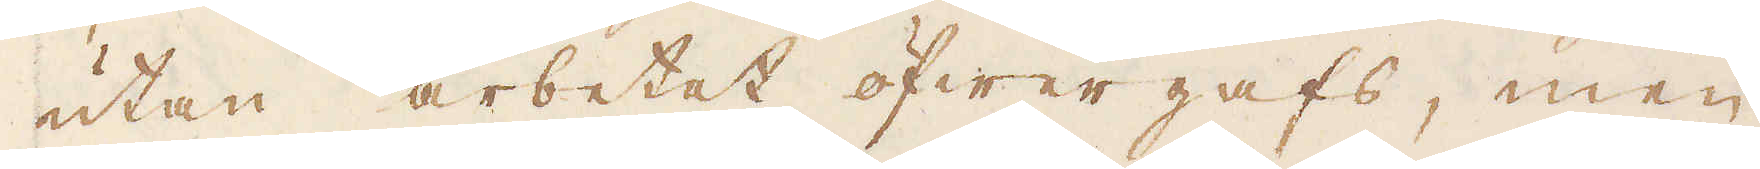utan arbetet öfwergafs, men
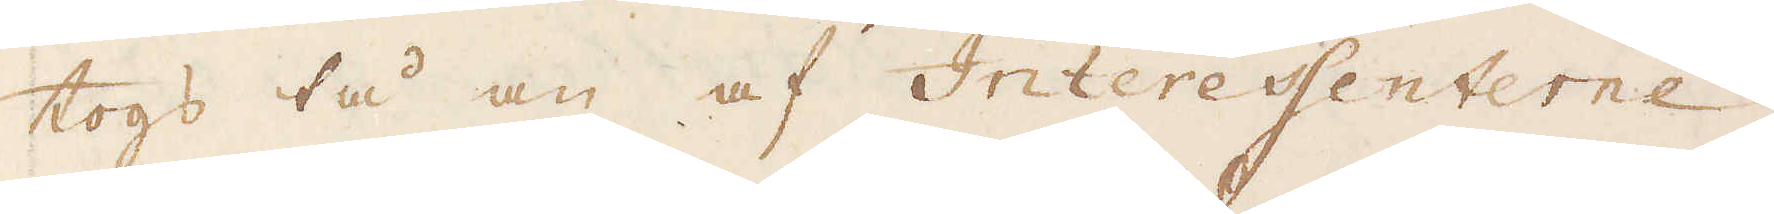togs tå an af Interessenterne,
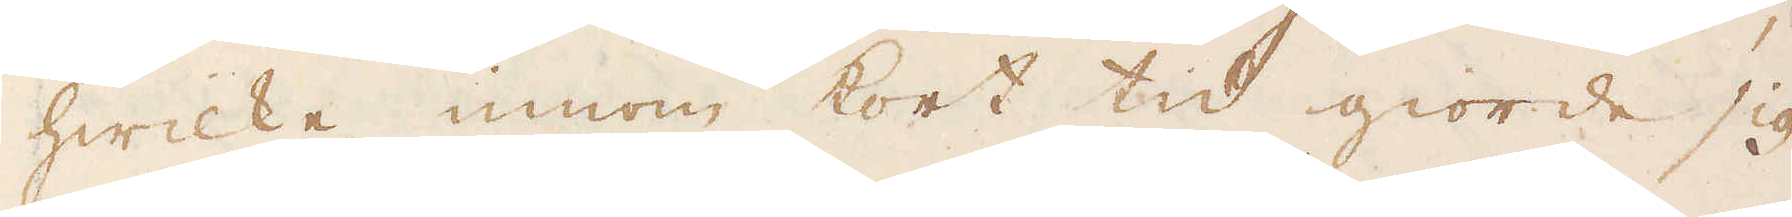hwilke innom kort tid giorde sig
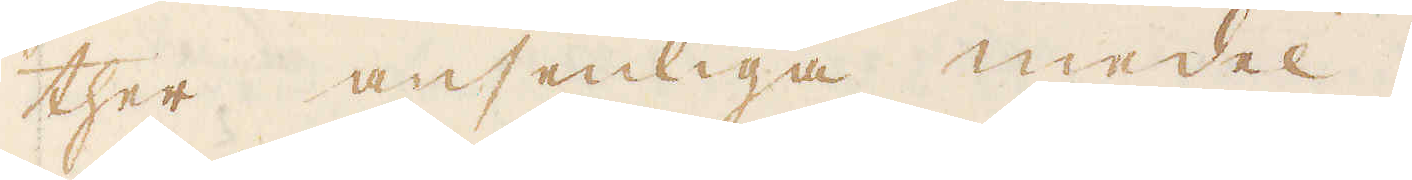ther ansenliga medel.
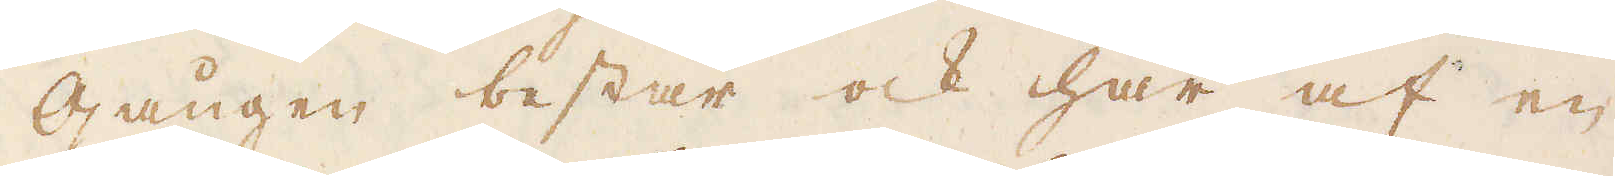Gången består ock här af en
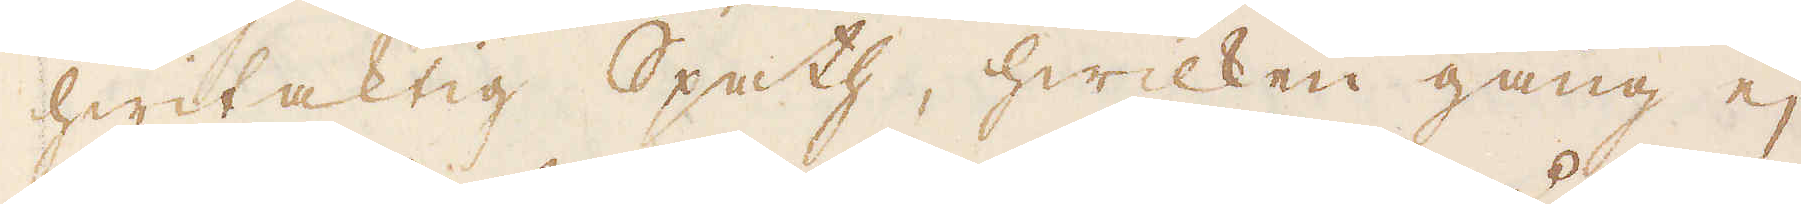hwitaktig Spath, hwilken gång ej
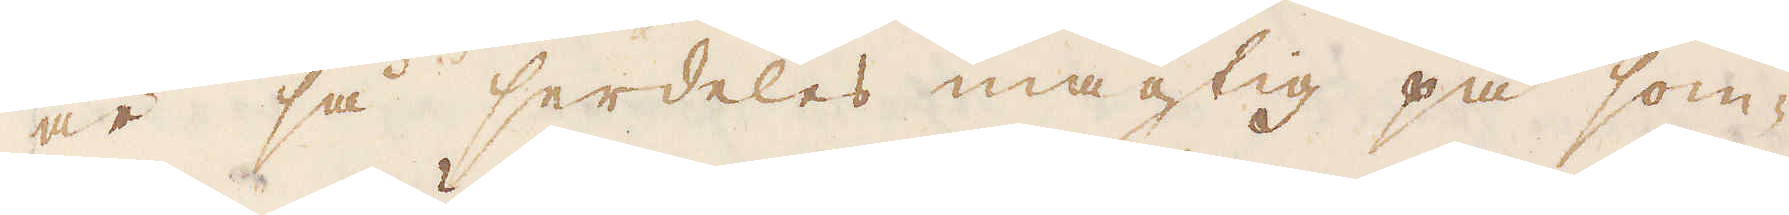är så serdeles mägtig på som-
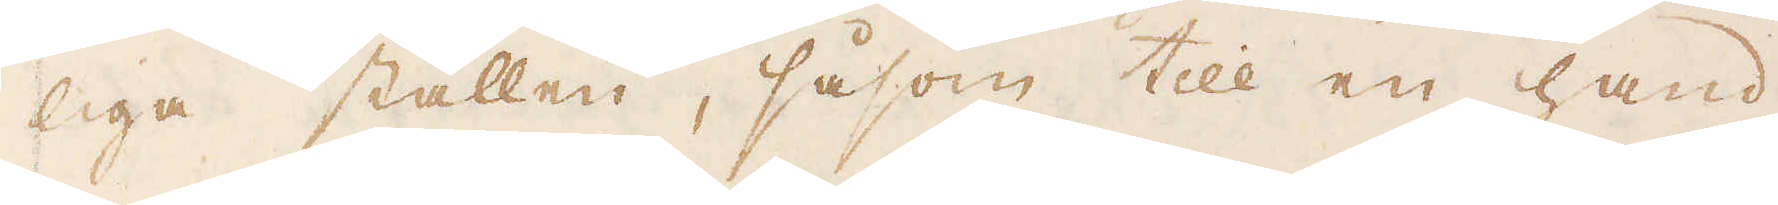liga ställen, såsom till en hand
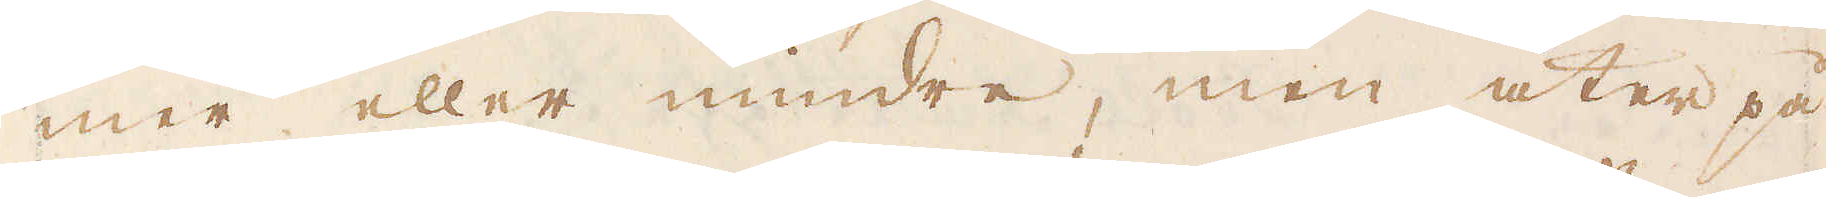mer eller mindre, men åter på
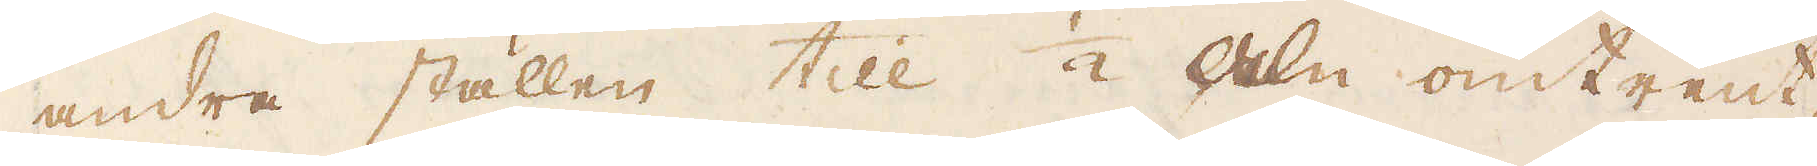andra ställen till 1/2 aln omtrent,
